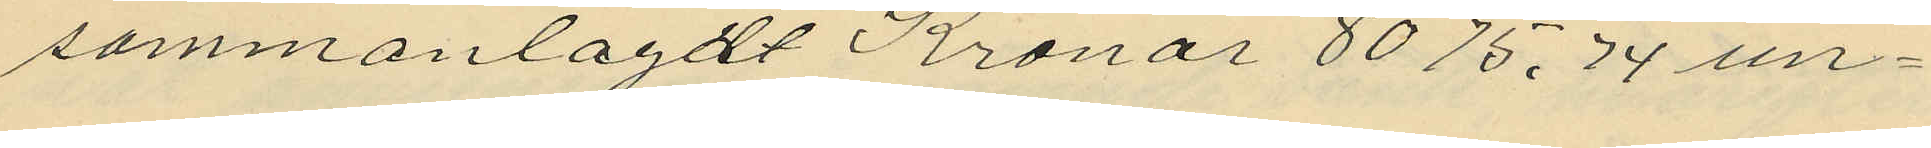sammanlagdt Kronor 8075,74 un¬
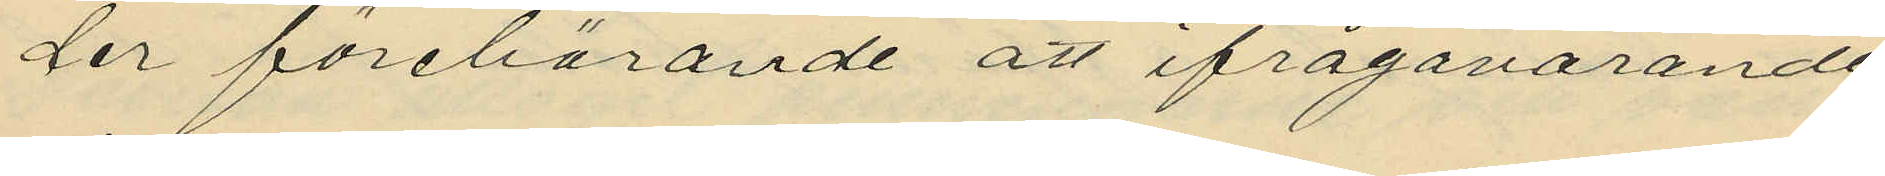der förebärande att ifrågavarande
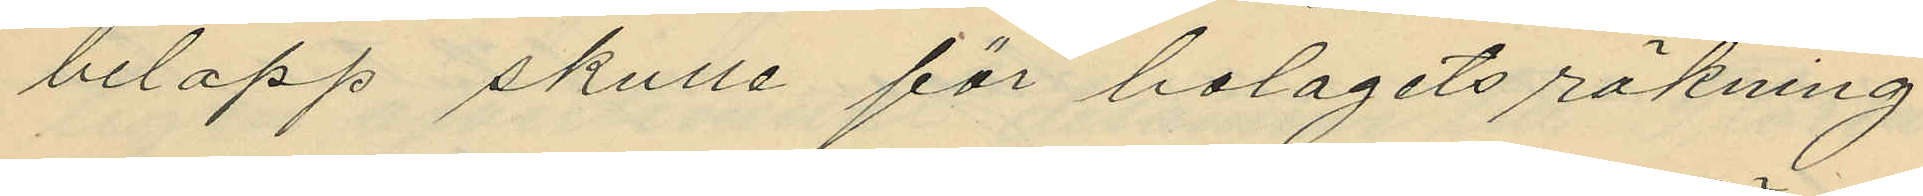belopp skulle för bolagets räkning
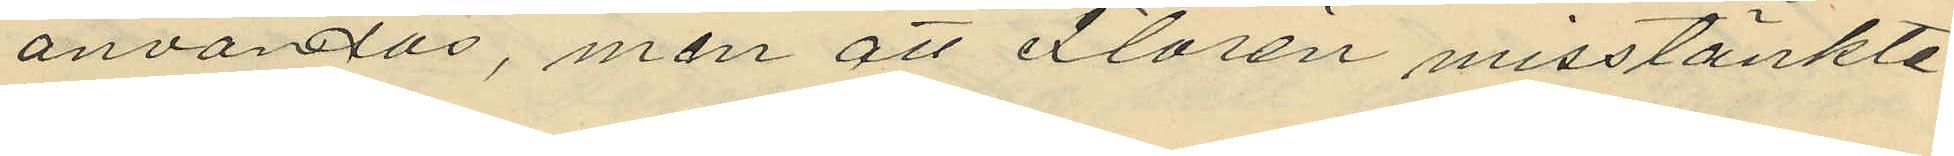användas, men att Florén misstänkte
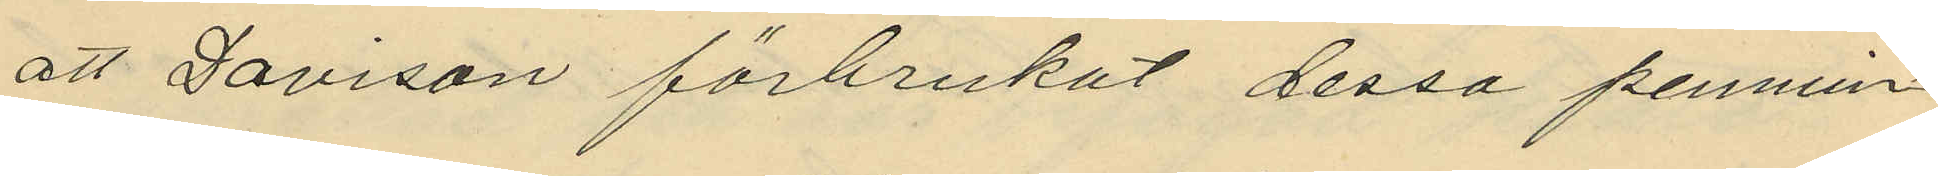att Davison förbrukat dessa pennin¬
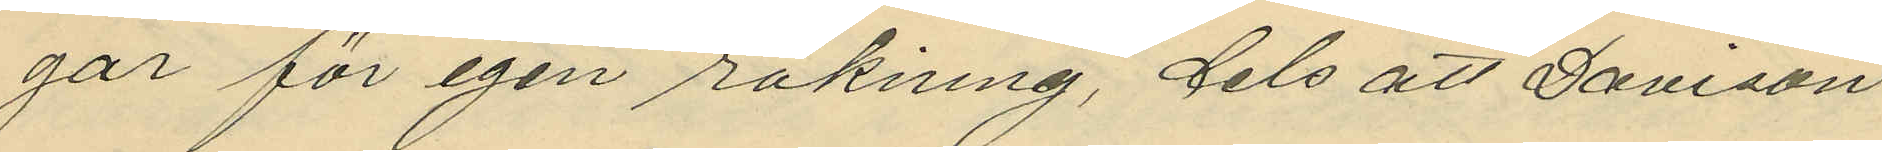går för egen räkning, dels att Davison
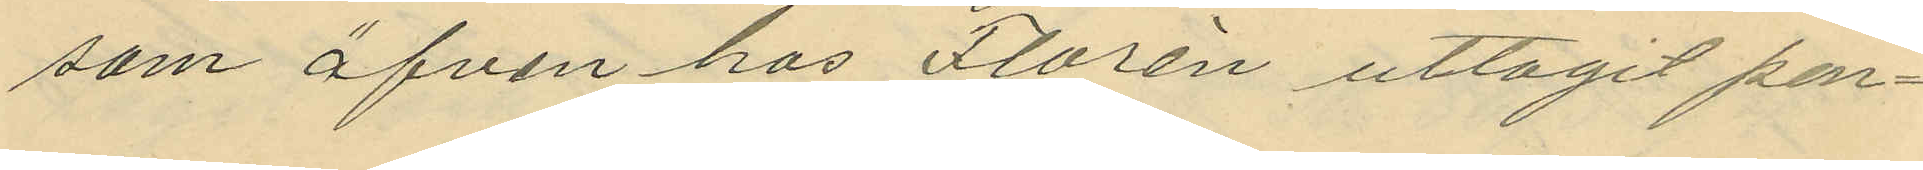som äfven hos Florén uttagit pen¬
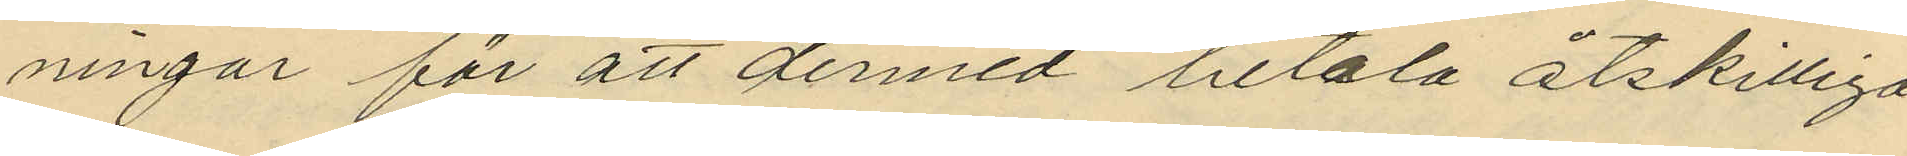ningar för att dermed betala åtskilliga
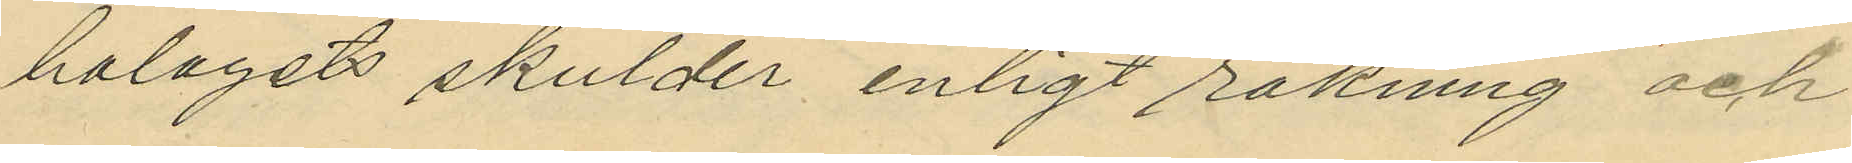bolagets skulder enligt räkning och
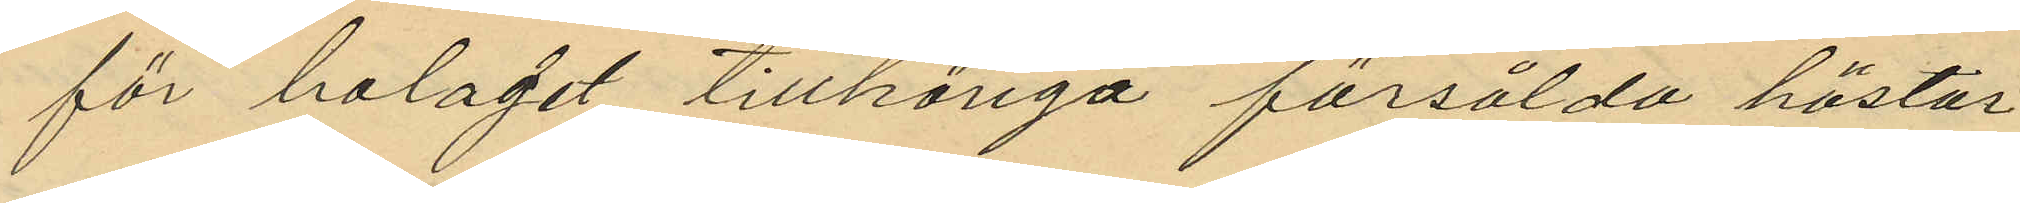för bolaget tillhöriga försålda hästar
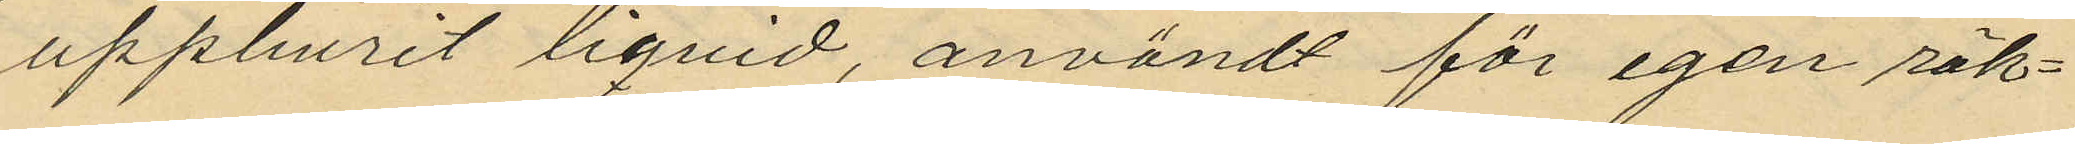uppburit liqvid, användt för egen räk¬
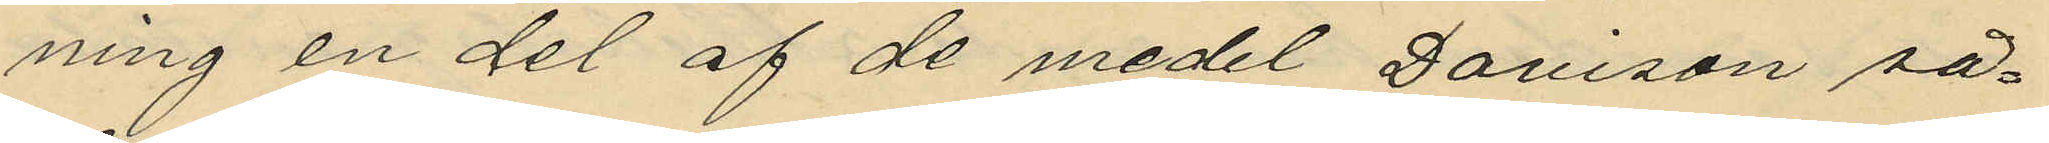ning en del af de medel Davison så¬
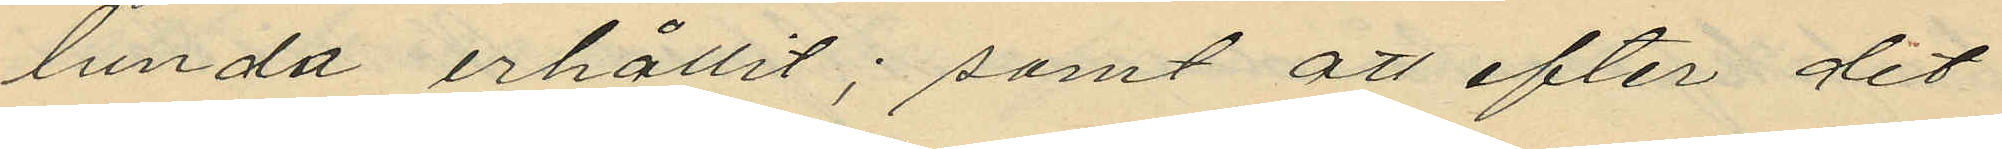lunda erhållit; samt att efter det
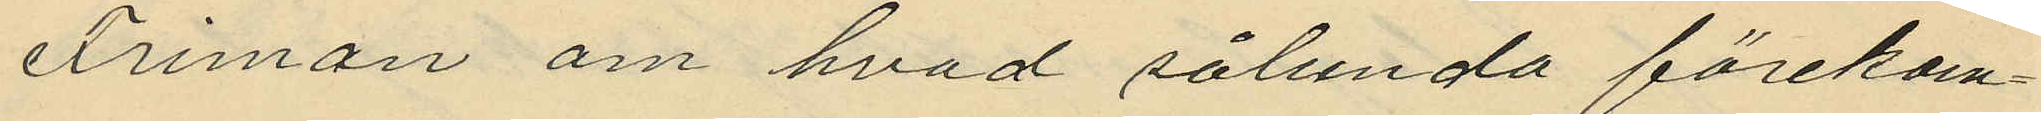erinran om hvad sålunda förekom¬
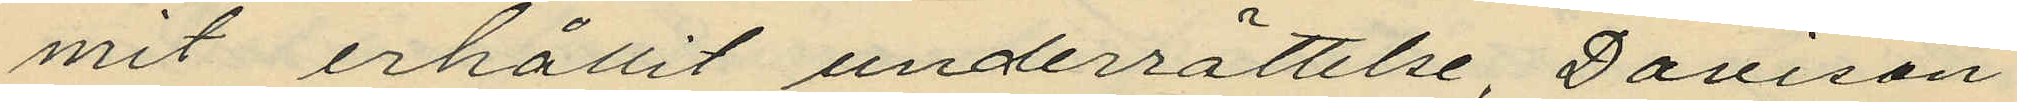mit erhållit underrättelse, Davison
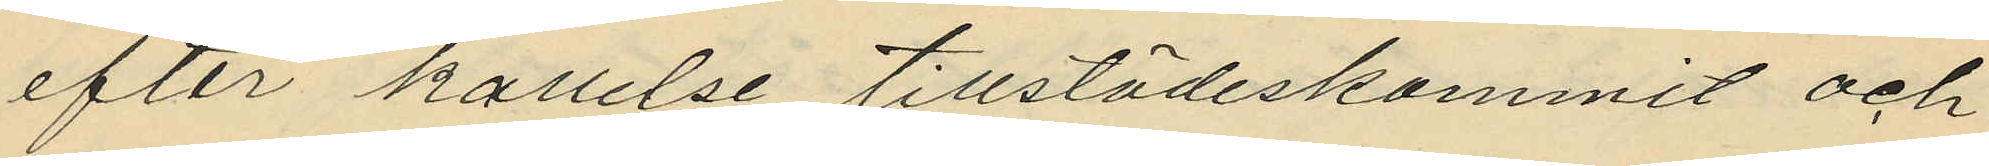efter kallelse tillstädeskommit och
